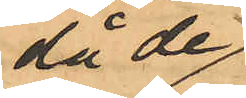då de
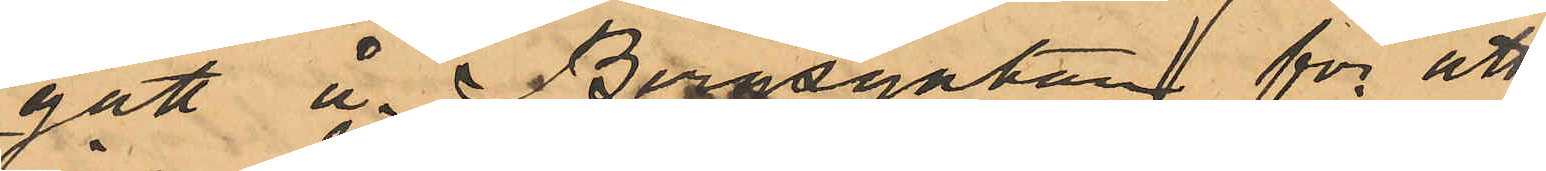gått å Bergsgatan för att
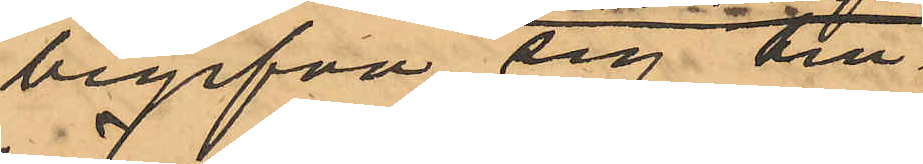begifva sig till
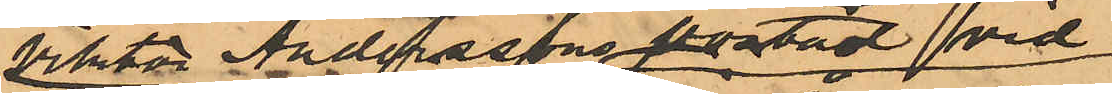Viktor Anderassons bostad vid
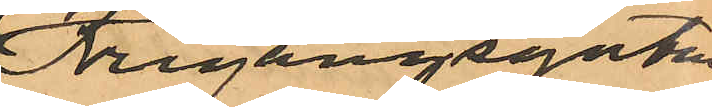Frigångsgatan
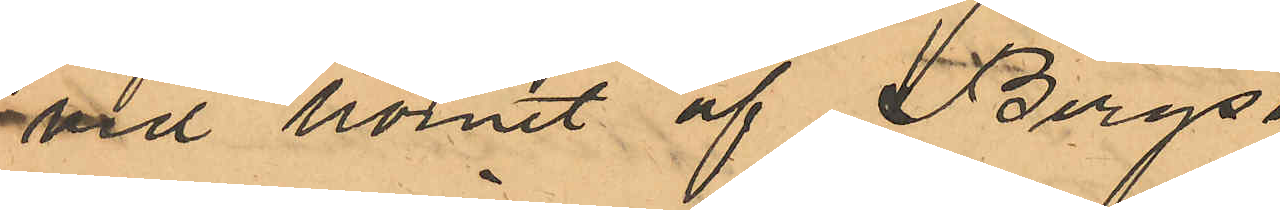vid hörnet af Bergs¬
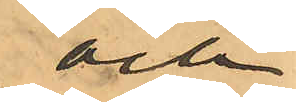och
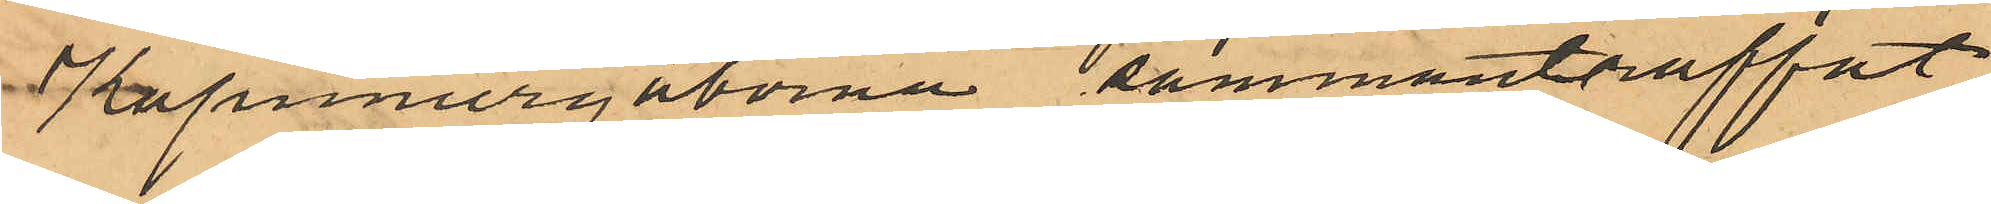Kapuniergatorna sammanträffat
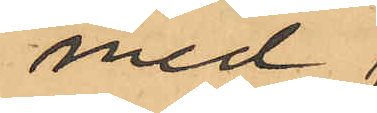med
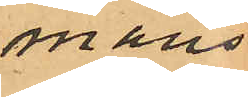mans¬
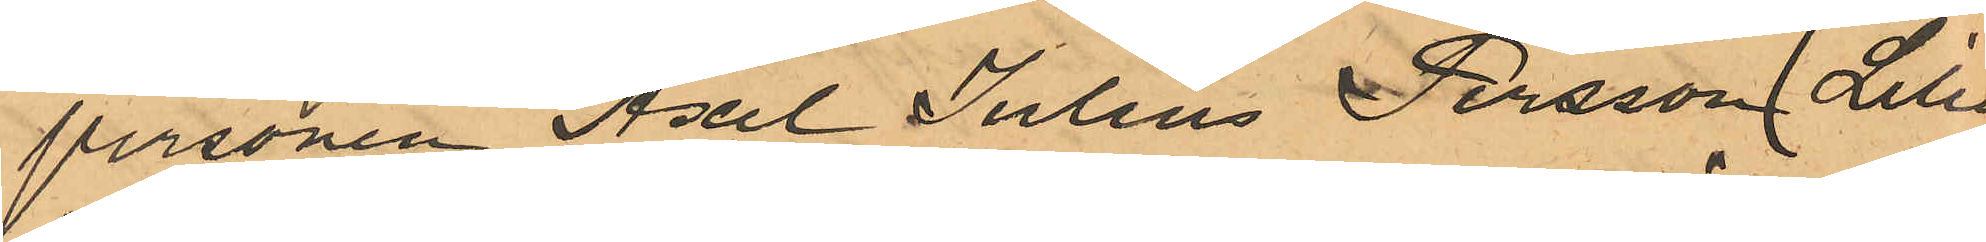personen Axel Julius Persson ( Lill¬
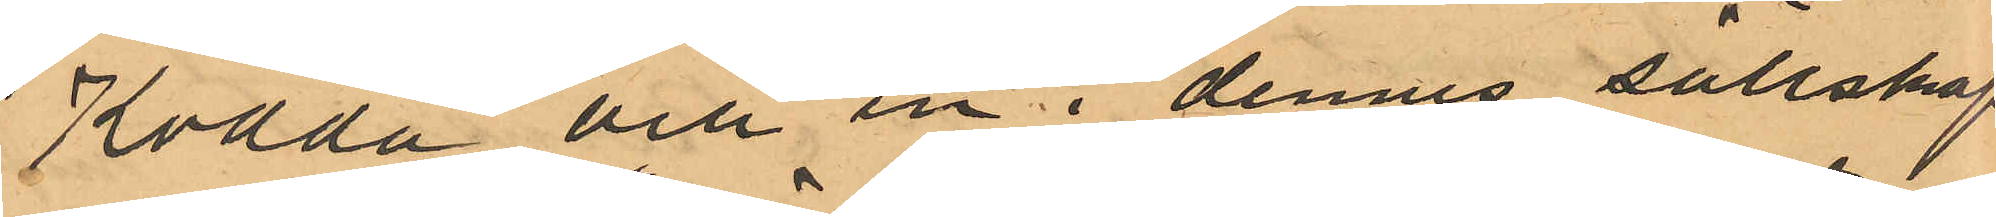Kodda och en i dennes sällskap
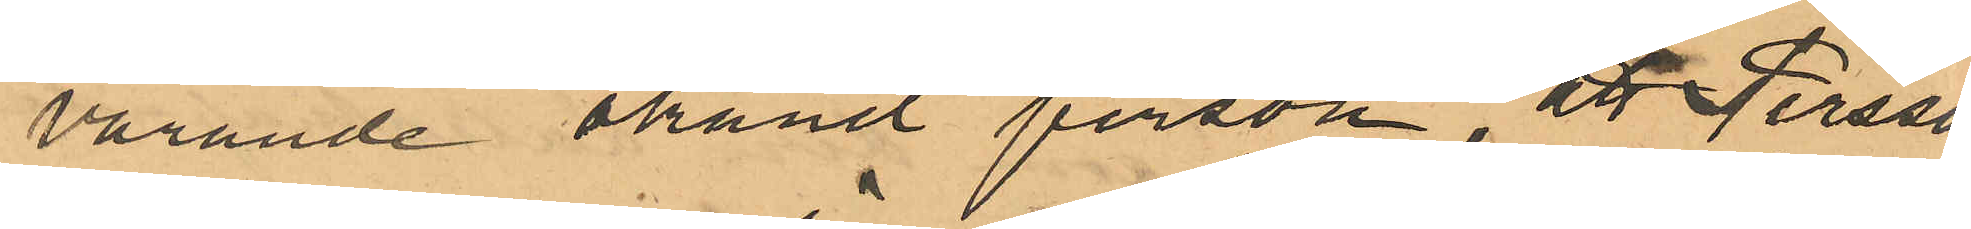varande okänd person, att Persson
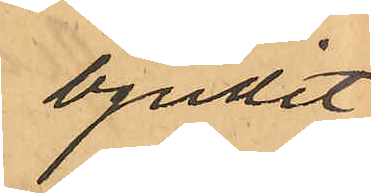bjudit
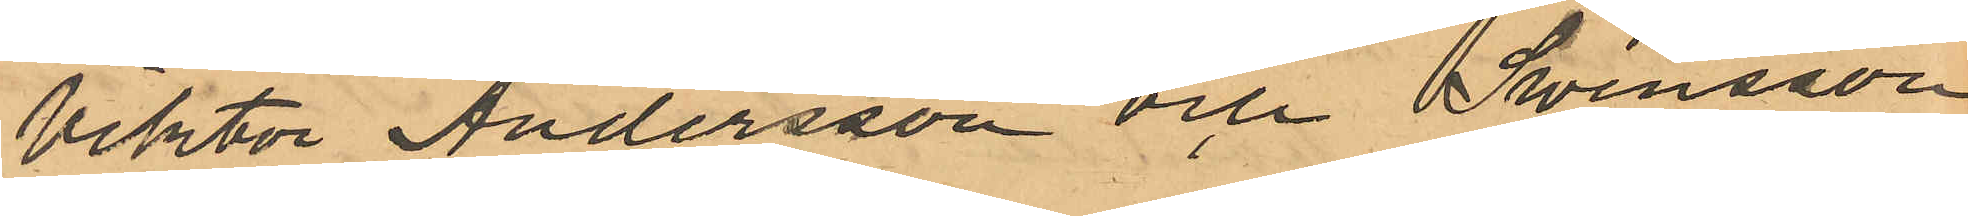Viktor Andersson och Swensson
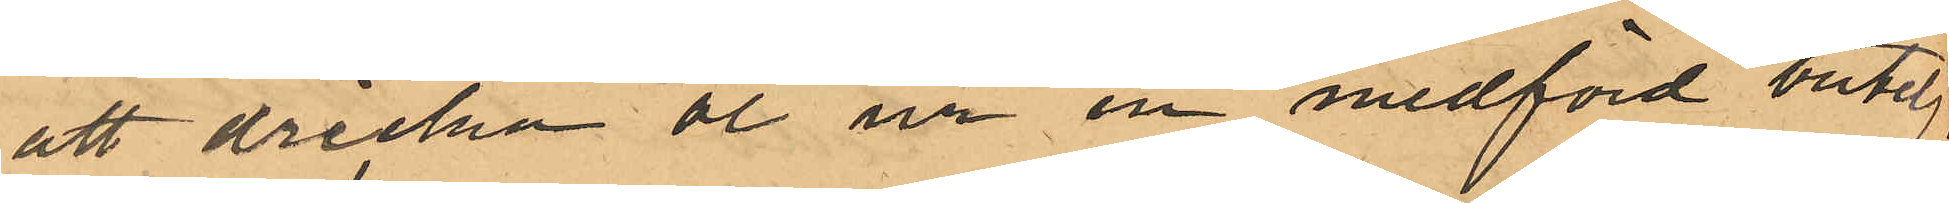att dricka öl ur en medförd butelj,
